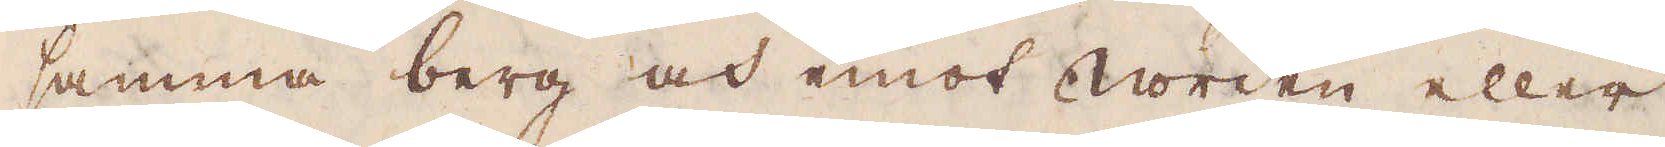samma berg och emot Norden eller
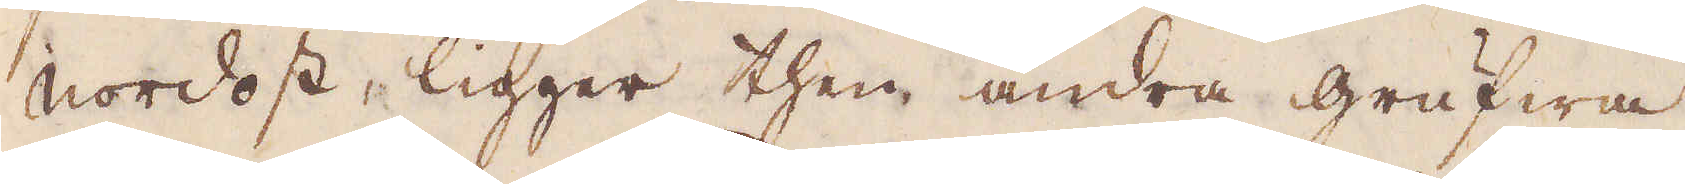Nordost, ligger then andra grufwa
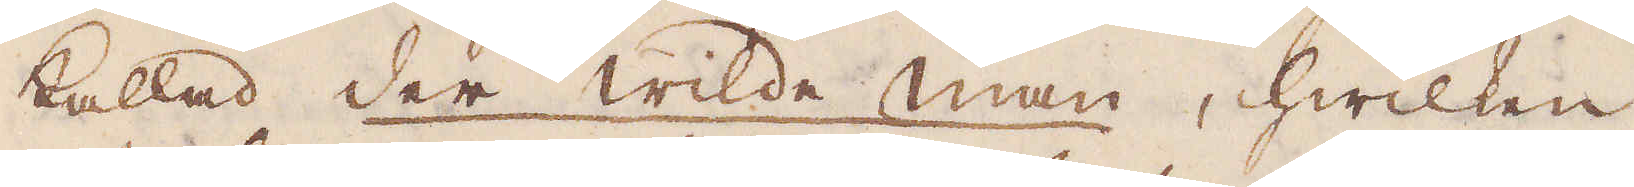kallad der wilde man, hwilken
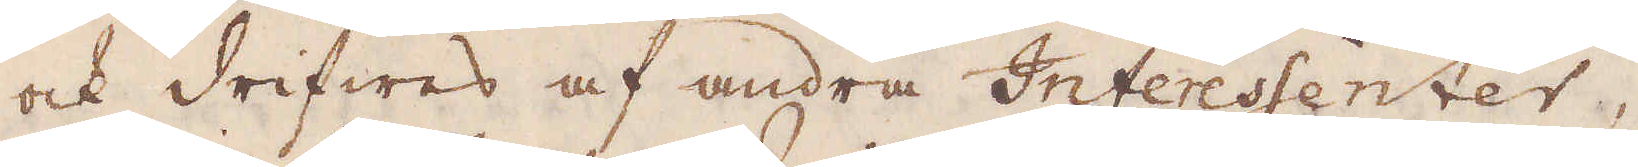och drifwes af andra Interessenter,
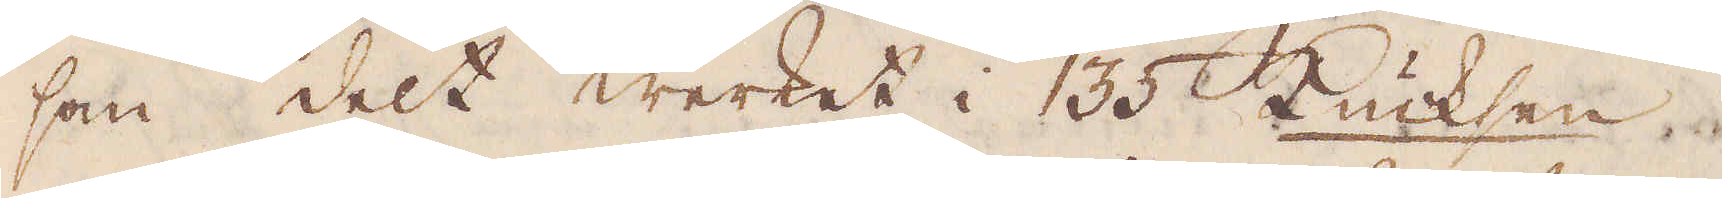som delt Werket i 135 Kucksen
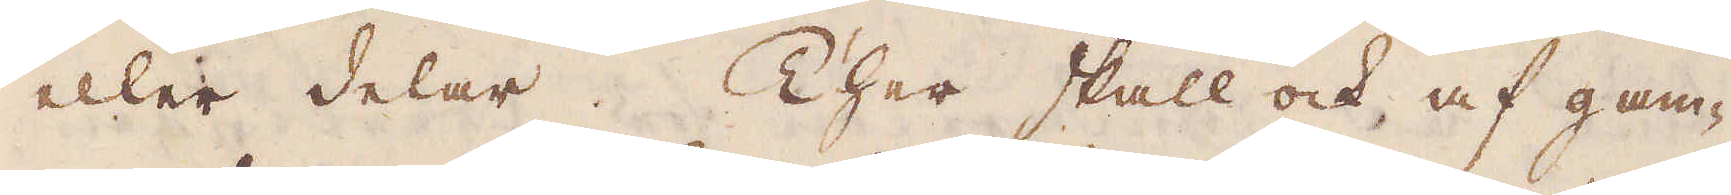eller delar. Ther skall ock af gam-
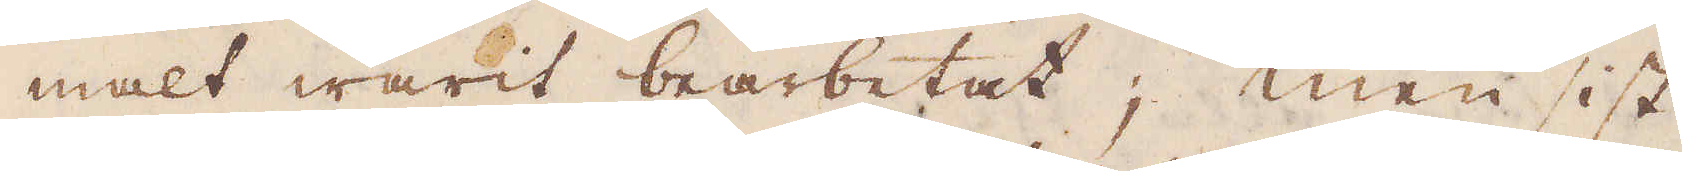malt warit bearbetat; men sist
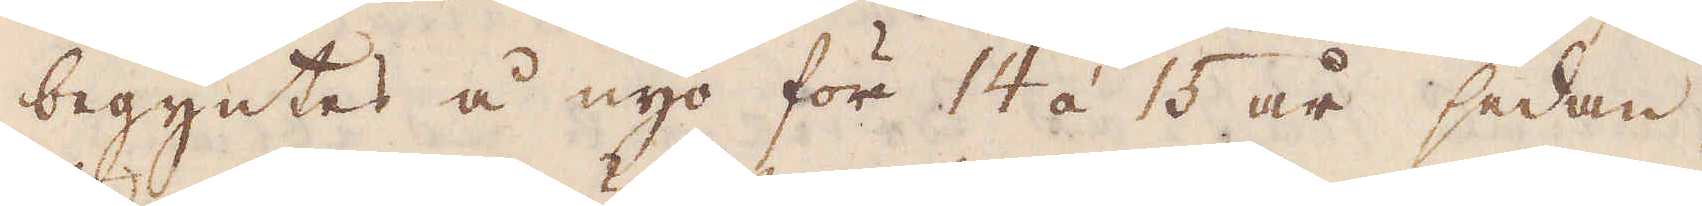begyntes å nyo för 14 á 15 år sedan,
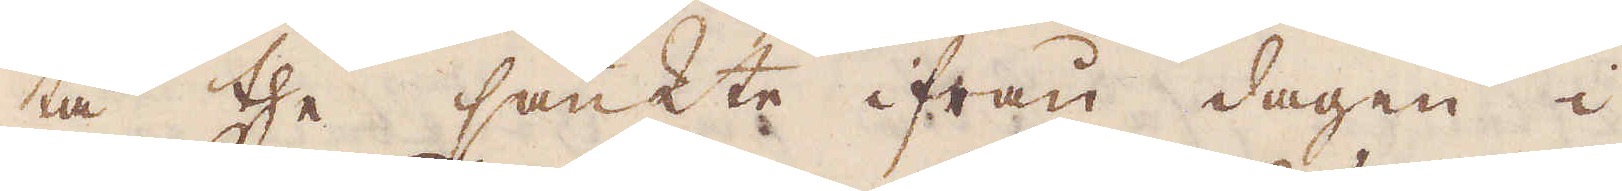tå the sänkte ifrån dagen i
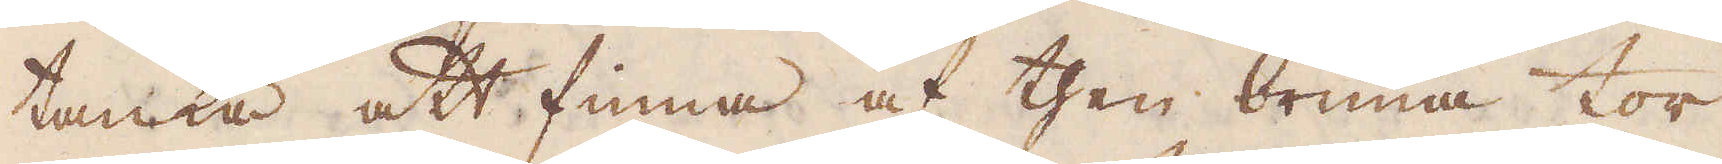tanka att finna af then brunna tor-
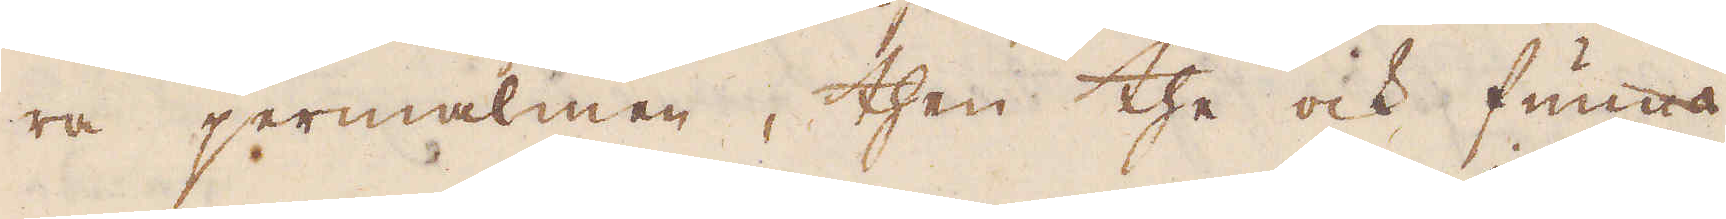ra jermalmen, then the ock funno
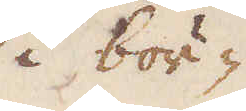i bör-
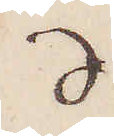d
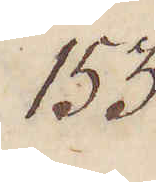153.
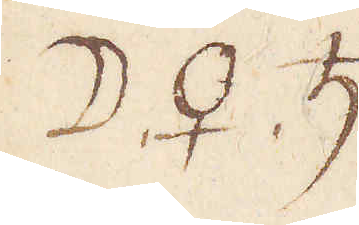☽, ♀, ♄
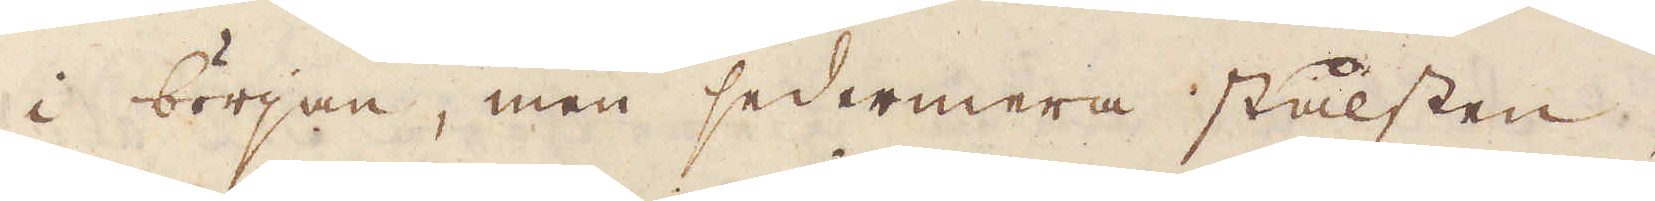i början, men sedermera stålsten,
